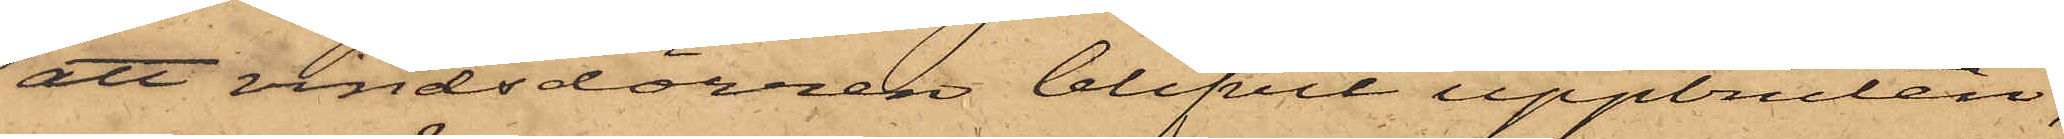att vindsdörren blifvit uppbruten,
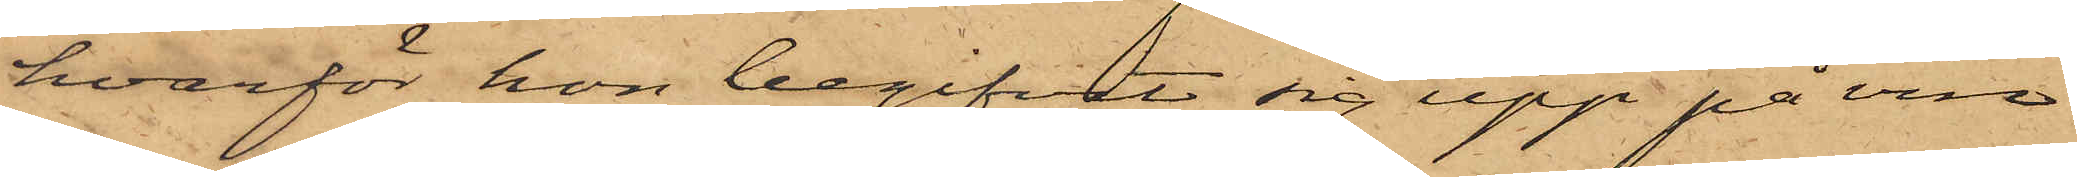hvarför hon begifvit sig upp på vin¬
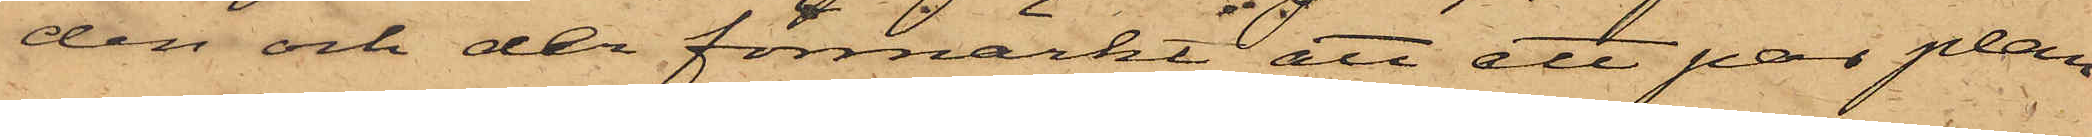den och der förmärkt att ett par plan¬
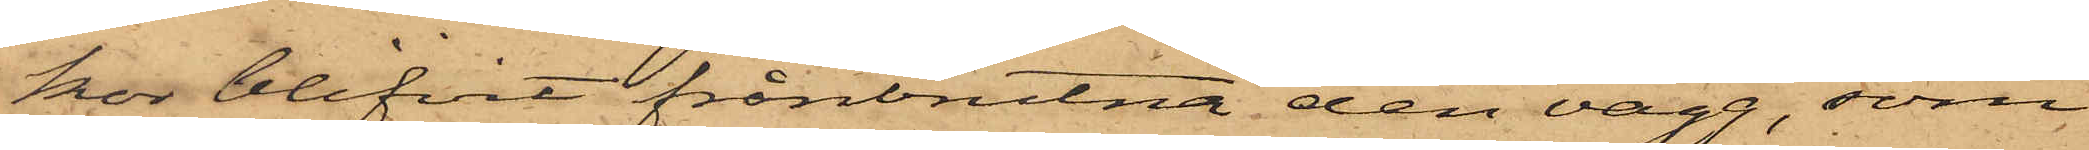kor blifvit frånbrutna den vägg, som
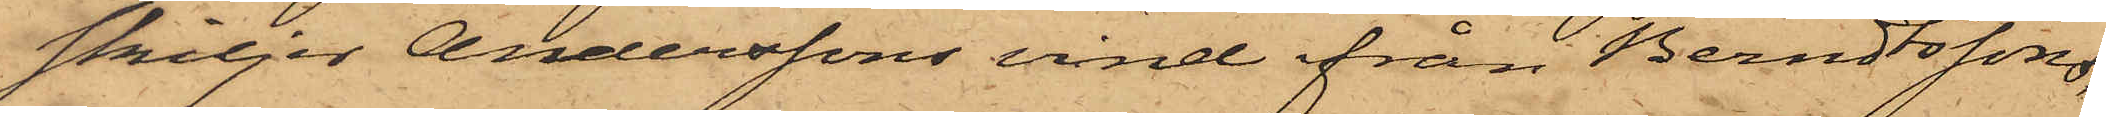skiljer Anderssons vind från Berndtssons,
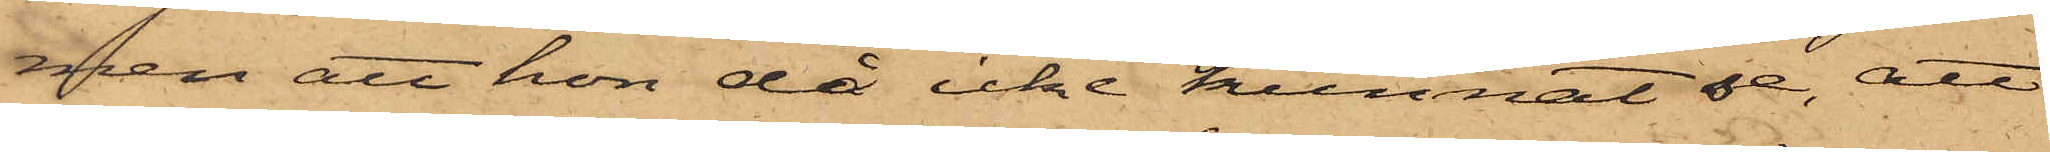men att hon då icke kunnat se, att
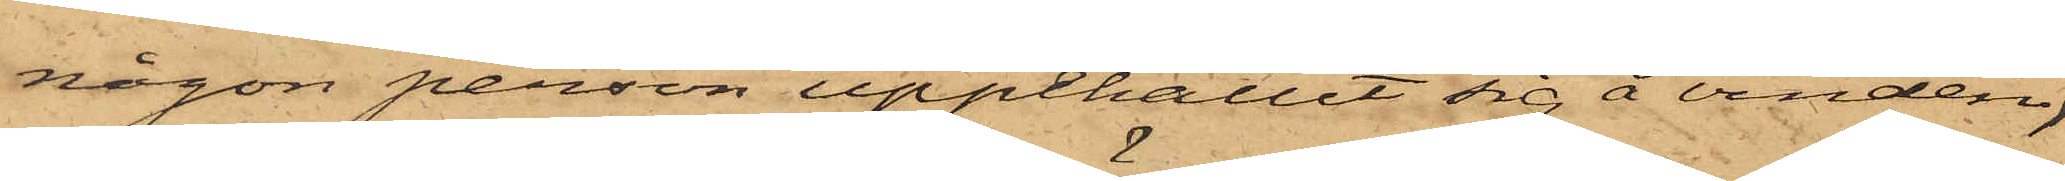någon person uppehållit sig å vinden,
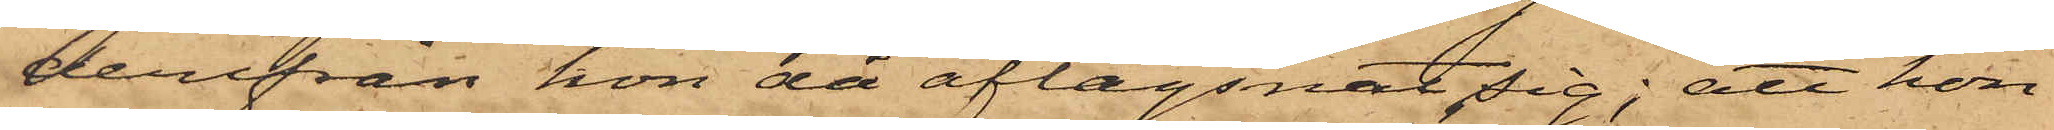derifrån hon då aflägsnat sig; att hon
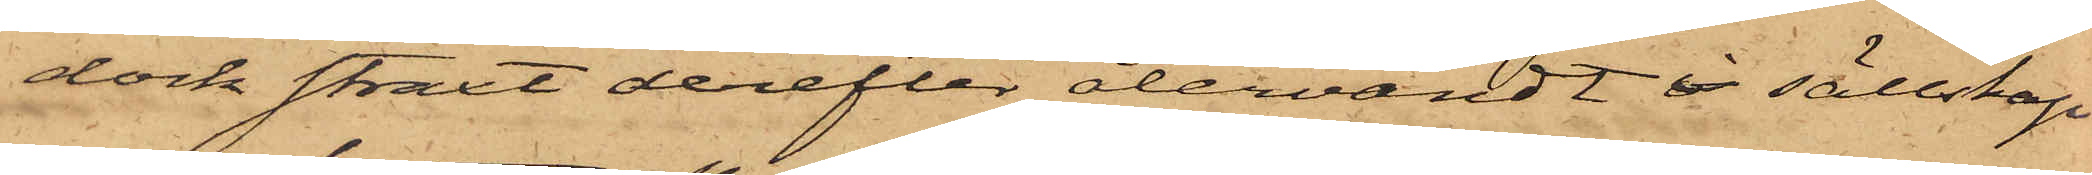dock straxt derefter återvändt i sällskap
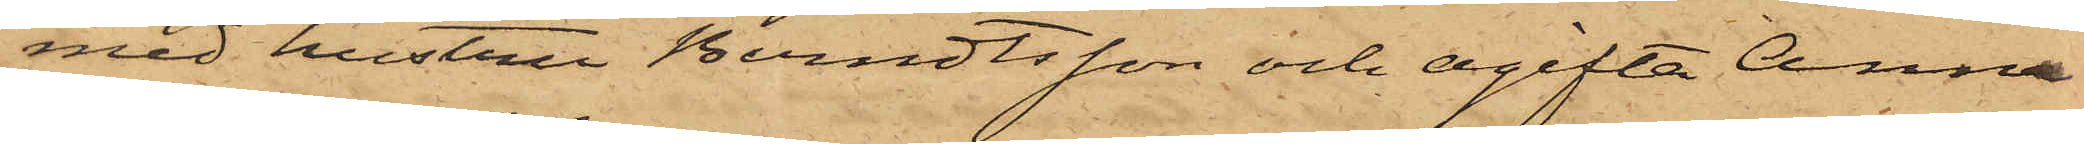med hustru Berndtsson och ogifta Anna
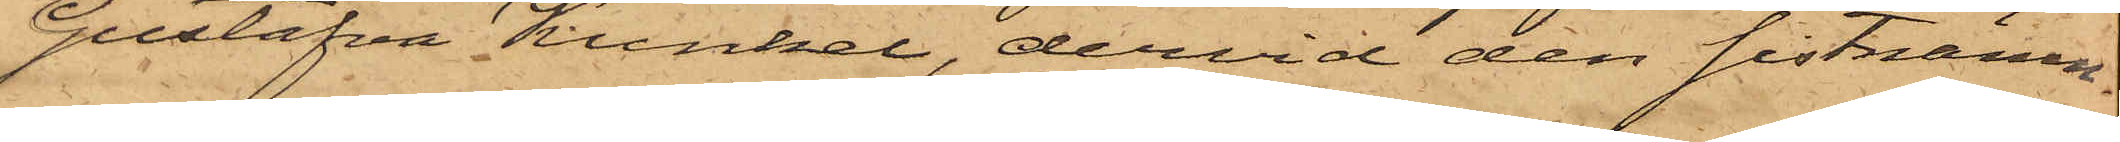Gustafva Kunkel, dervid den sistnämn¬
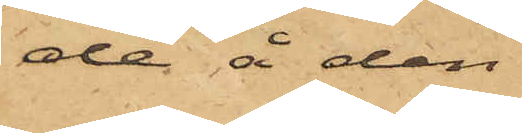de å den
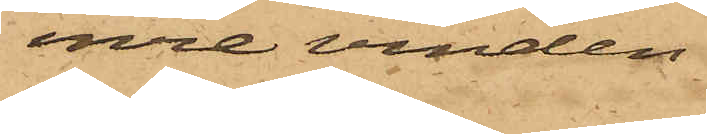inre vinden
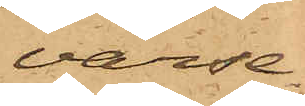varse¬
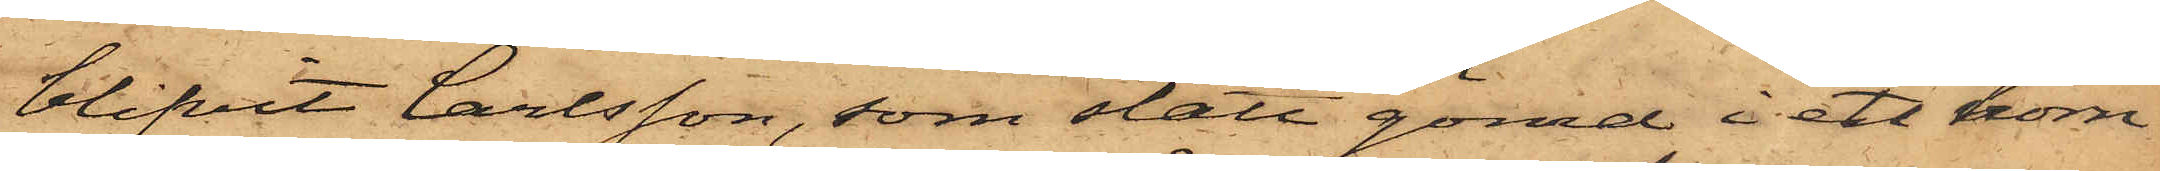blifvit Carlsson, som stått gömd i ett hörn
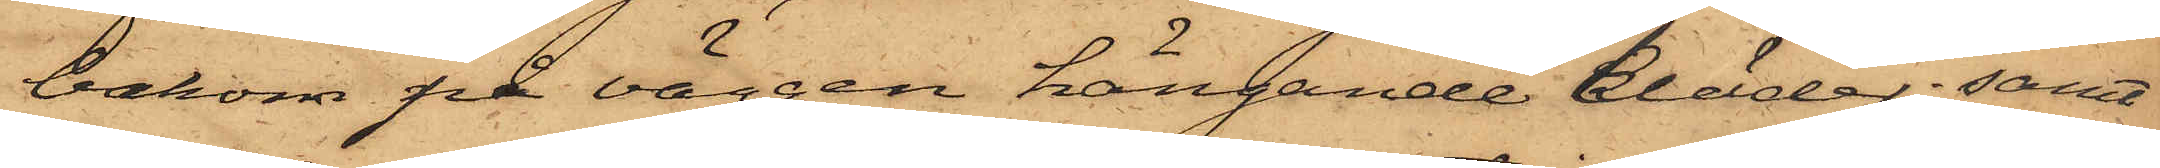bakom på väggen hängande kläder; samt
